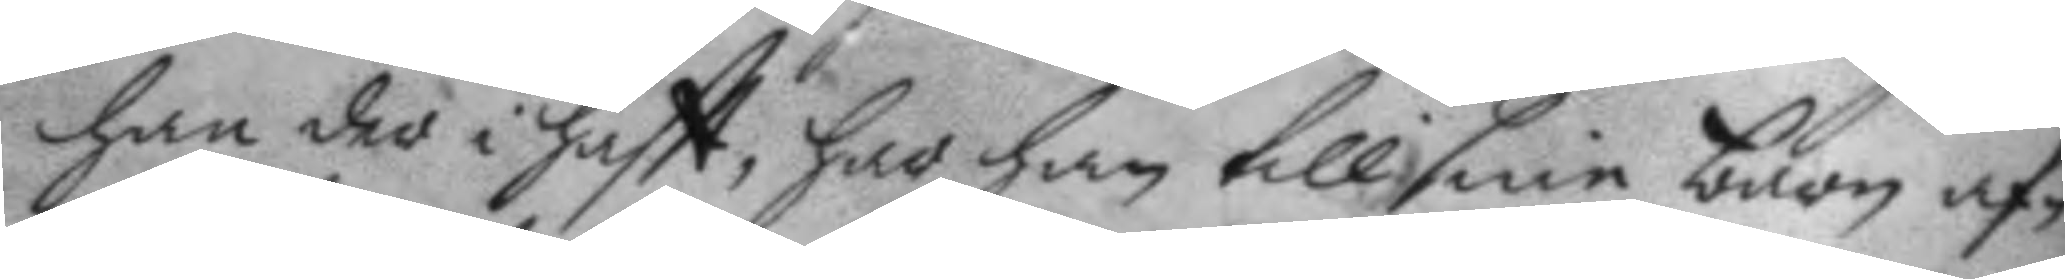han der i haftt, har han till sine barn af¬
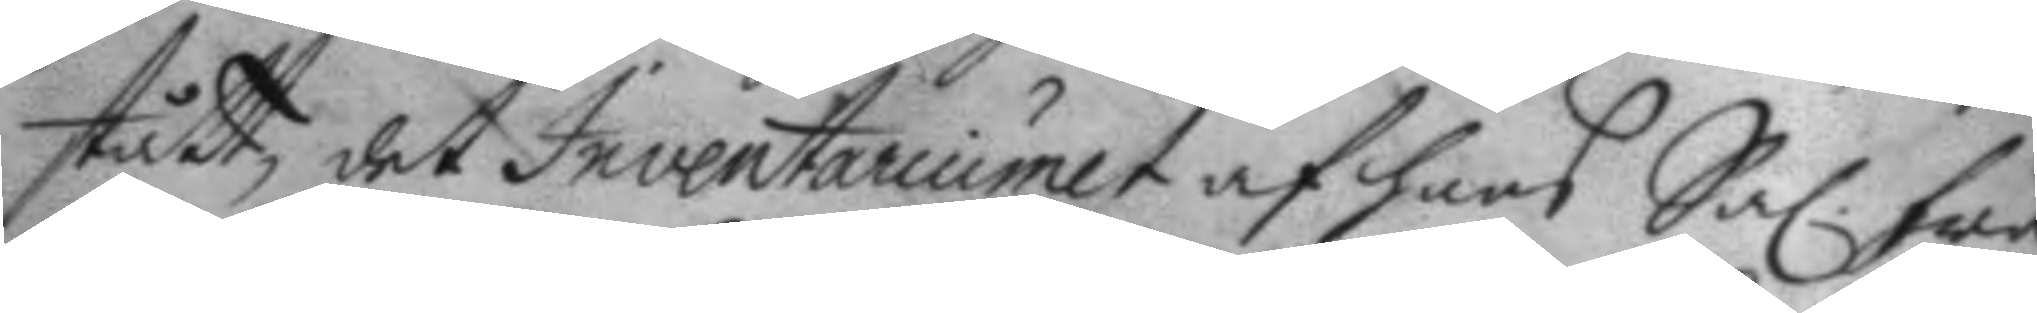stått, det Inventariumet af hans Sal. fru
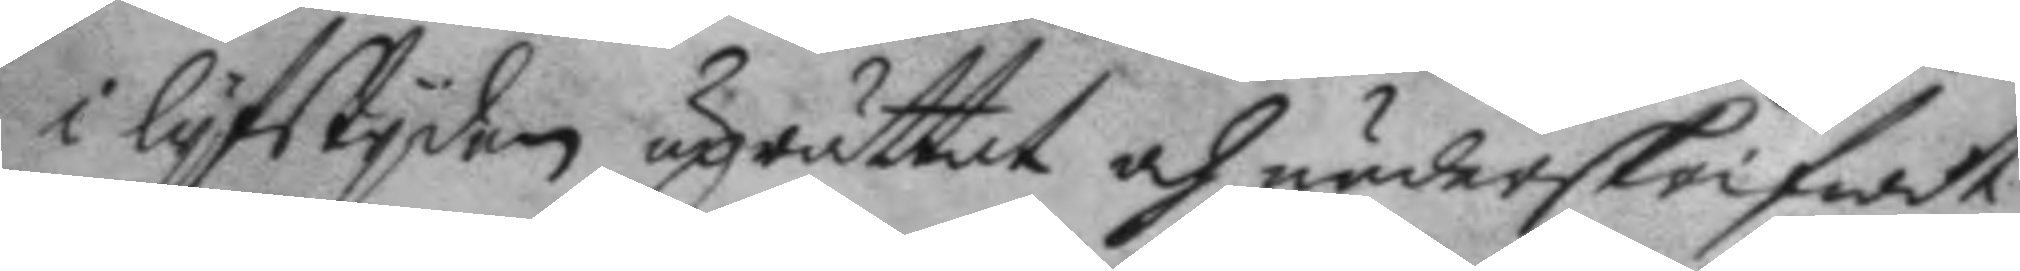i lyfstiden uprättat och näderskrifwet
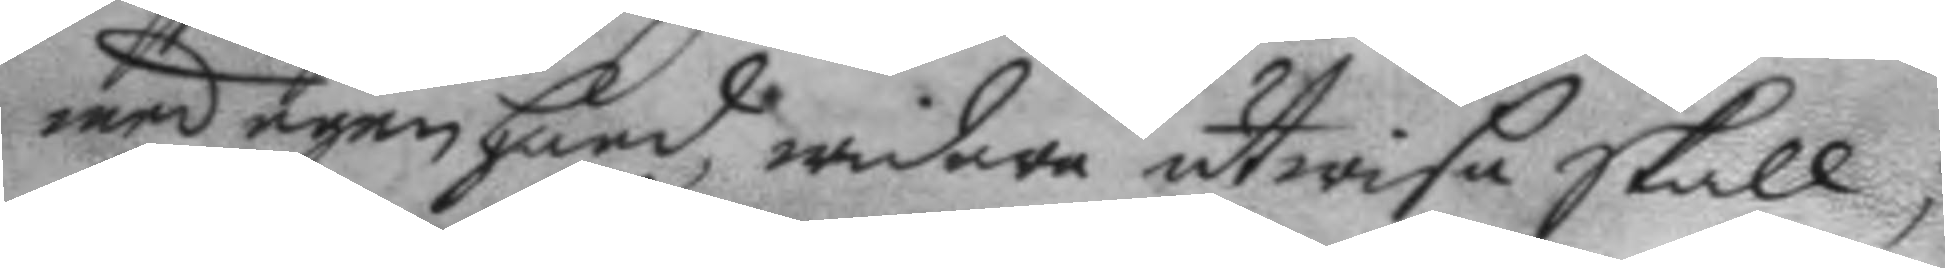wed egen hand, widare utwida skall;
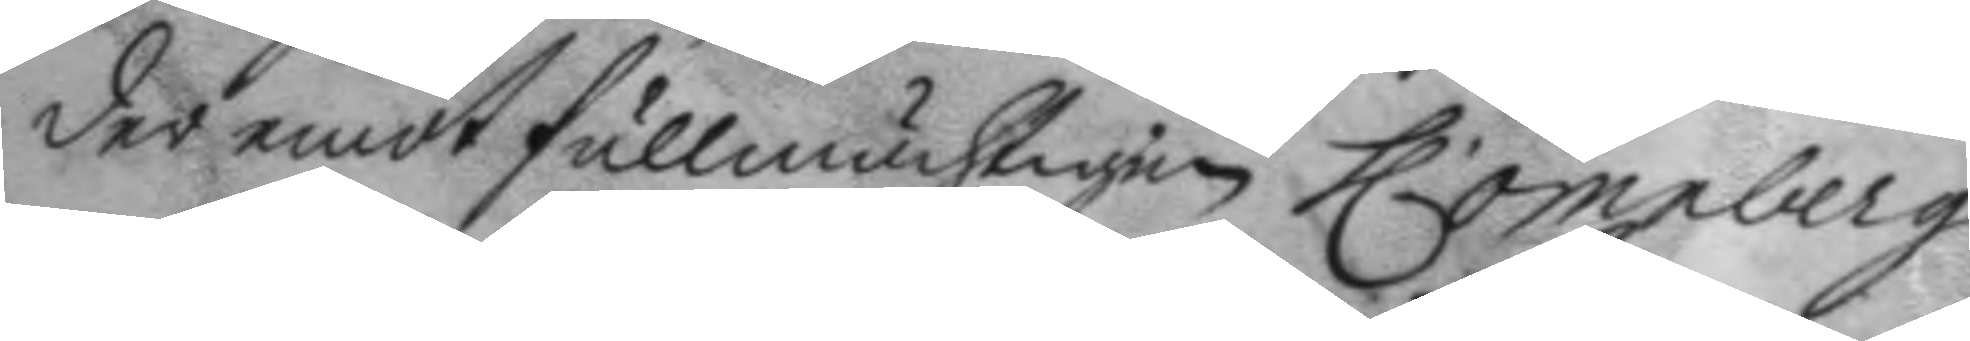der emot fullmächtigen h. ornberg
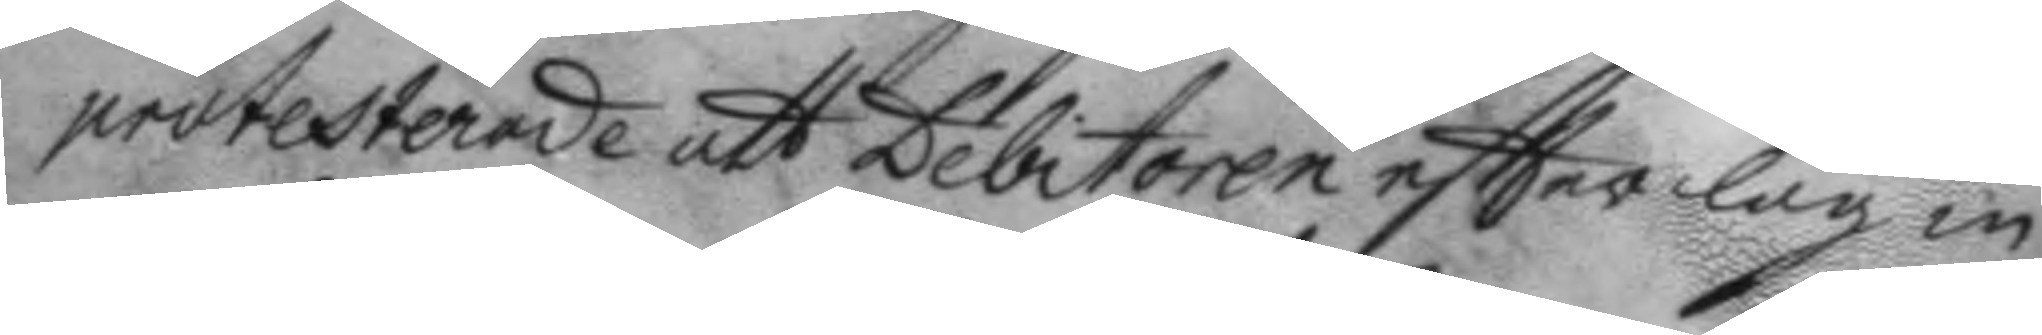protesterade att Debitoren eftter lag in
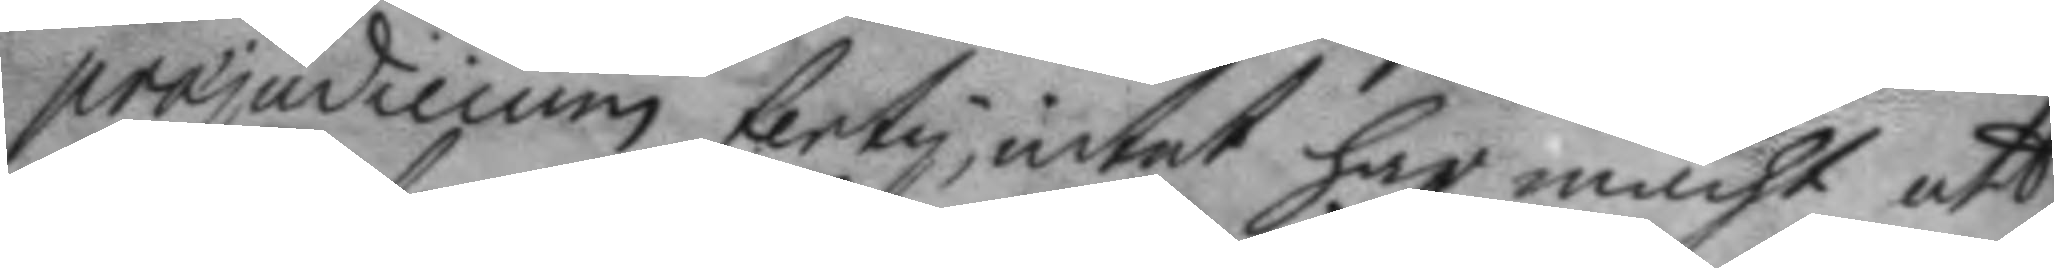projudicum terty; intet har mach att
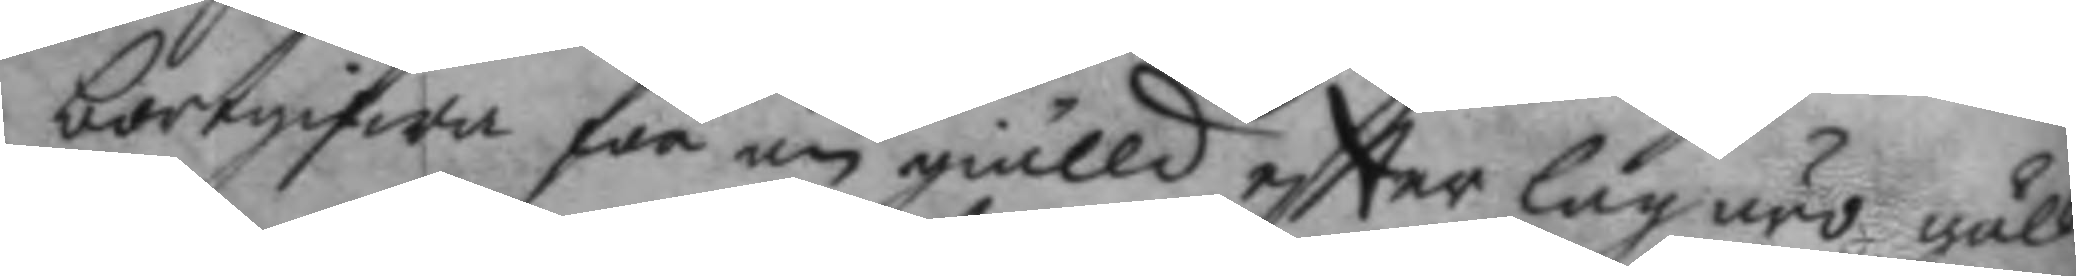bortgifwa för än giälld eftter lag äro gäll¬
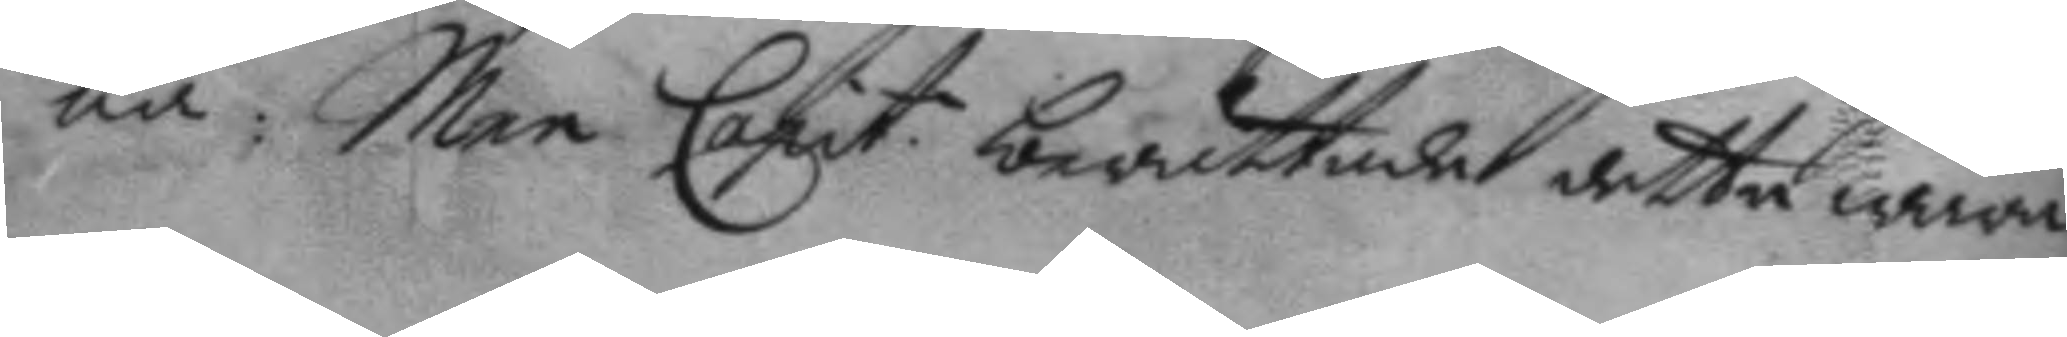na: Men Capit. berättade detta wara
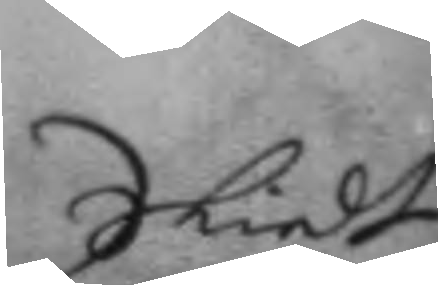Skiedt
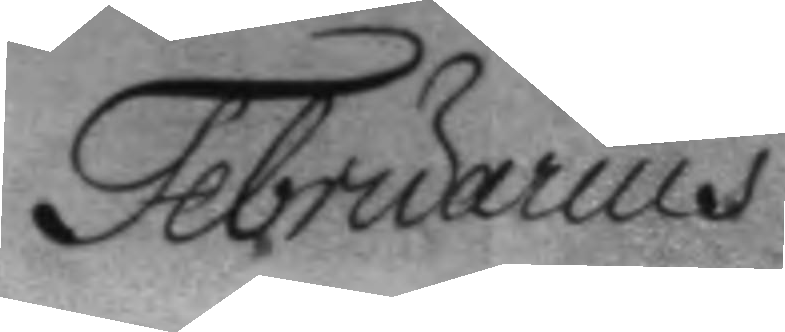Februarius
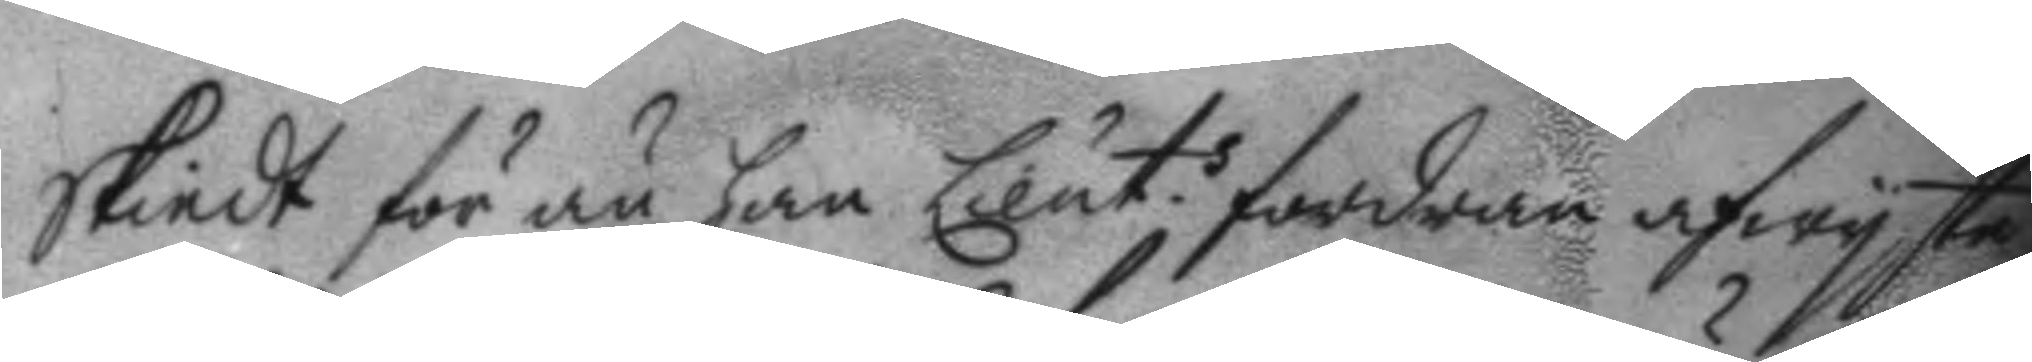Skiedt för än han Lieut.s fordran afwyste
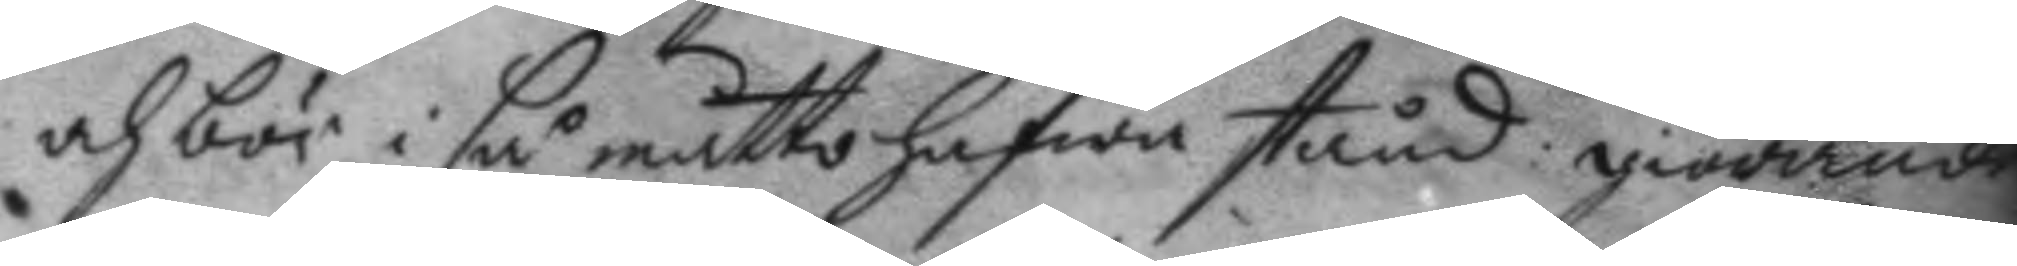och bör i så måtto hafwa stånd: giörande
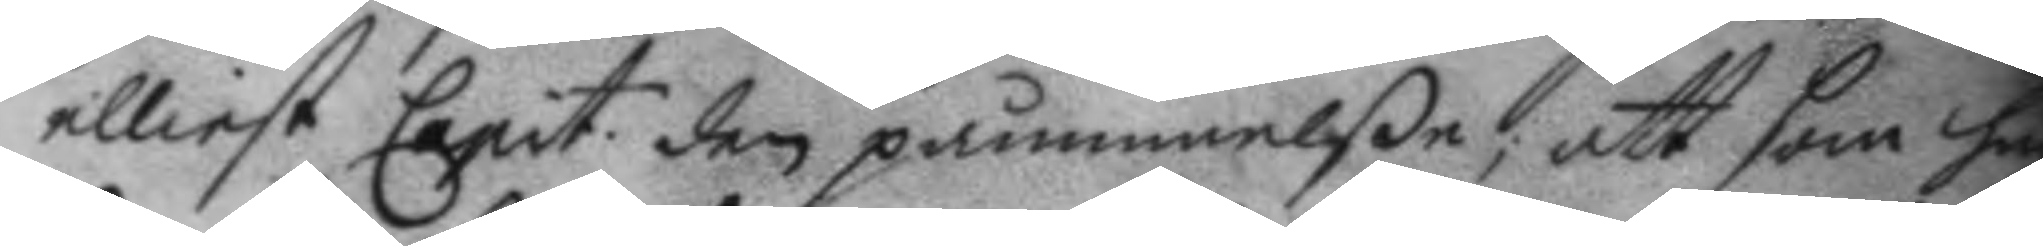elliest Capit. den påminnelße; att som ha
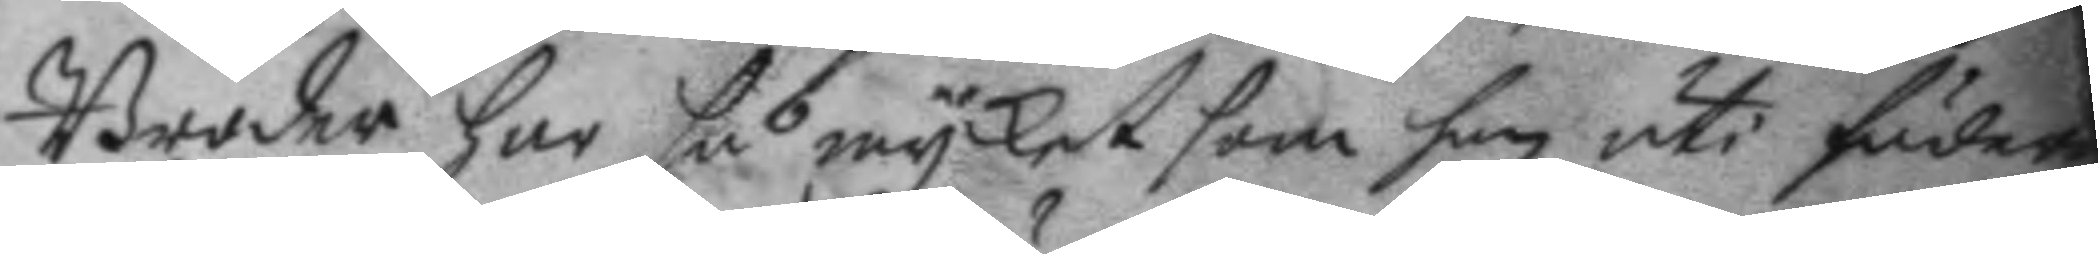Broder har så mycket som han uti fudet
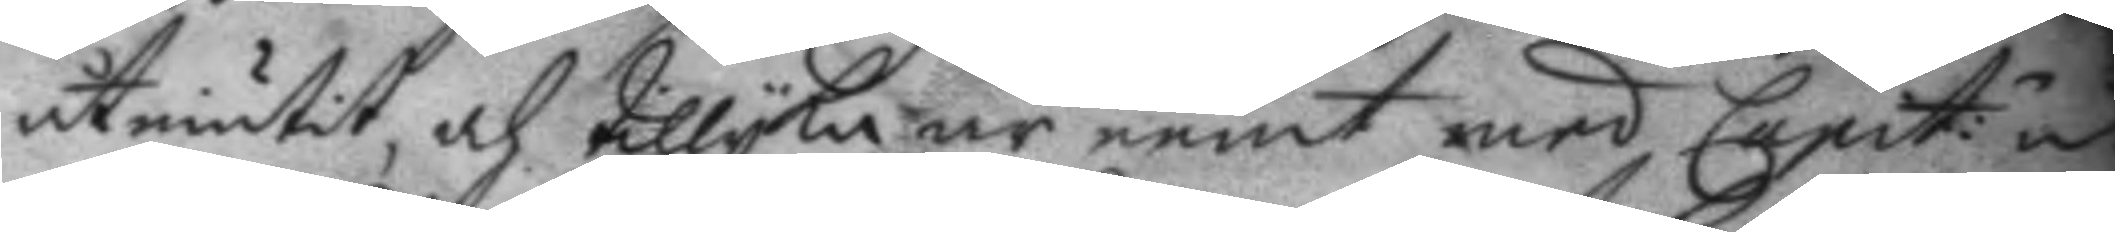åtniutit, och tillyka är eent med Capit: u
